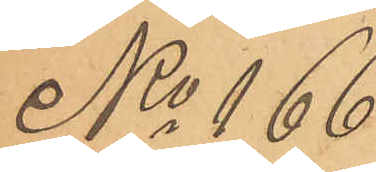No 166
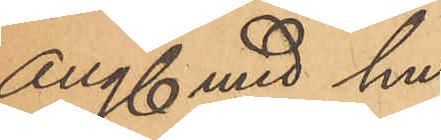Ang med hu¬
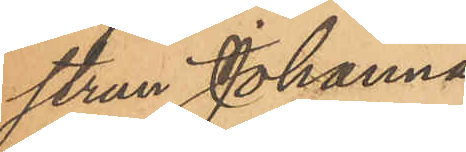strun Johanna
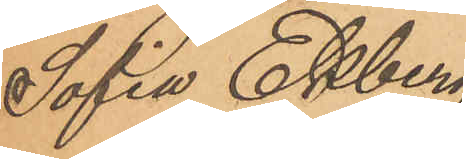Sofia Ekberg
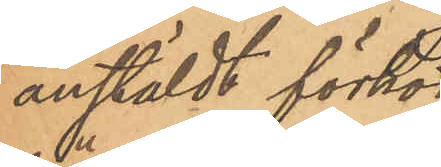anstälde förhör
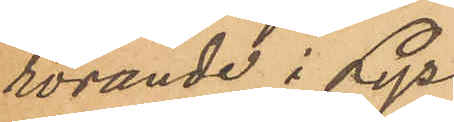rörande i Lyse¬
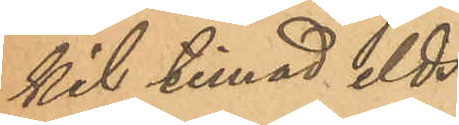kil timad elds¬
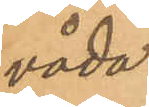våda.
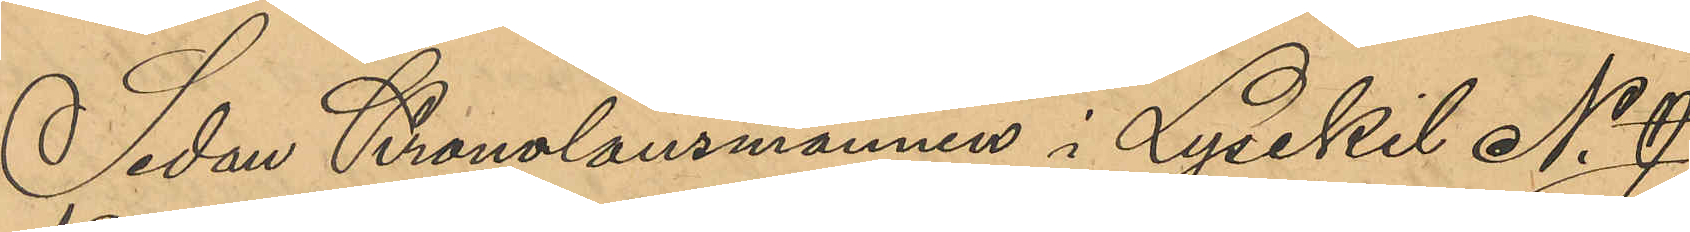Sedan Kronolänsmannen i Lysekil N. J.
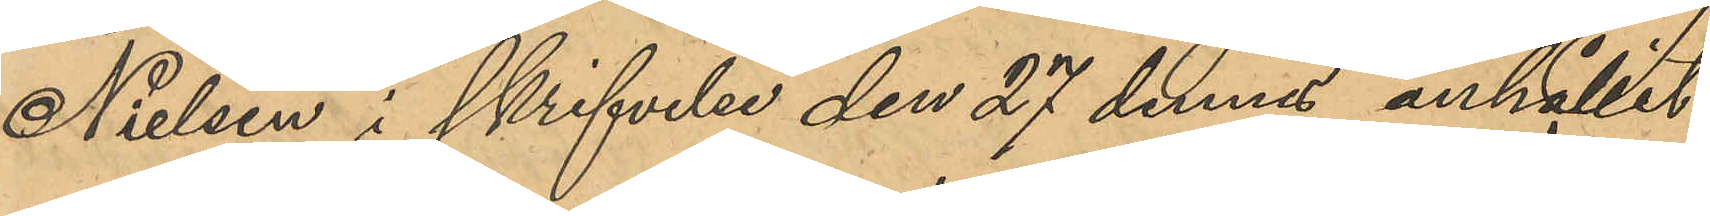Nielsen i skrifvelse den 27 dennes anhållit
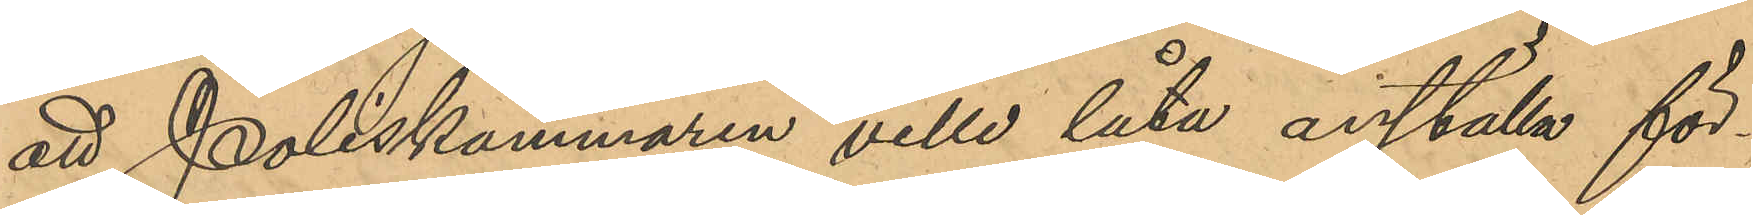att Poliskammaren ville låta anställa för¬
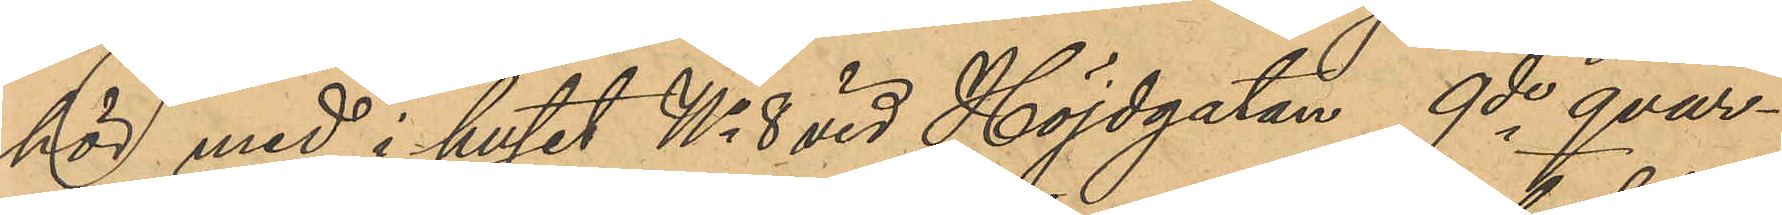hör med i huset No 8 vid Höjdgatan, 9de qvar¬
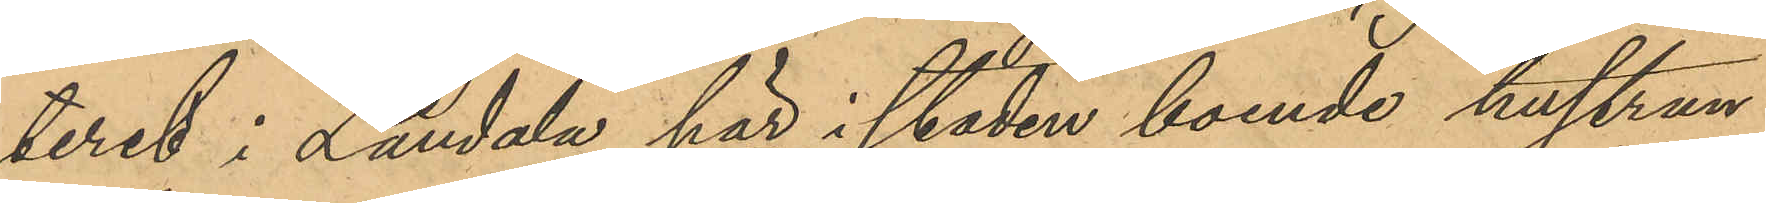teret i Landala här i staden boende hustrun
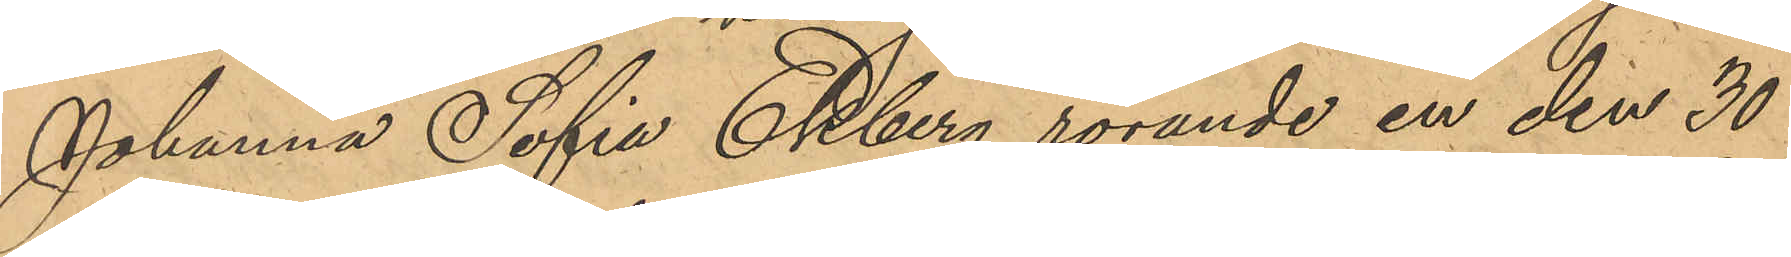Johanna Sofia Ekberg rörande en den 30
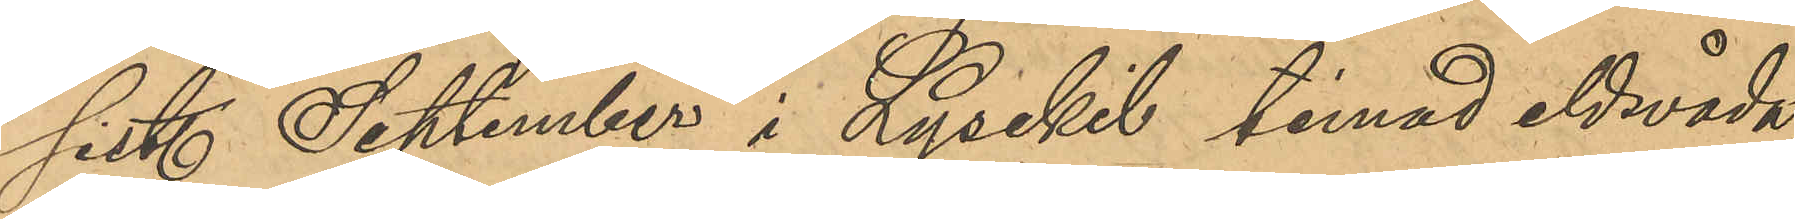sist. September i Lysekil timad eldsvåda,
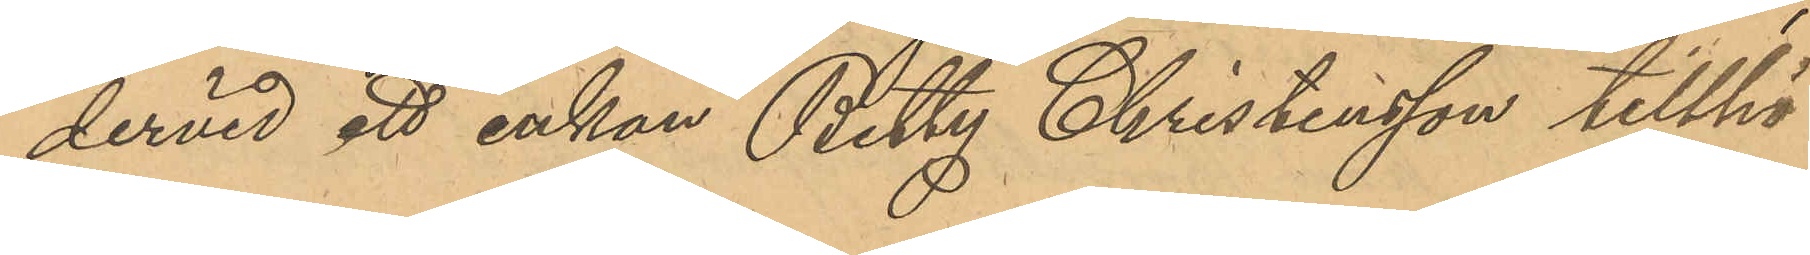dervid ett enkan Betty Christensson tillhö¬
